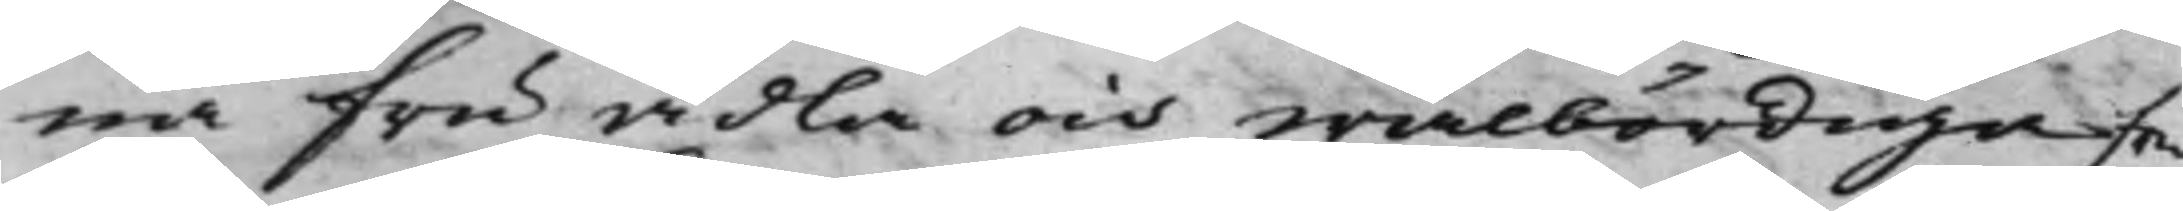na Fru Ädla och wälbördiga Fru
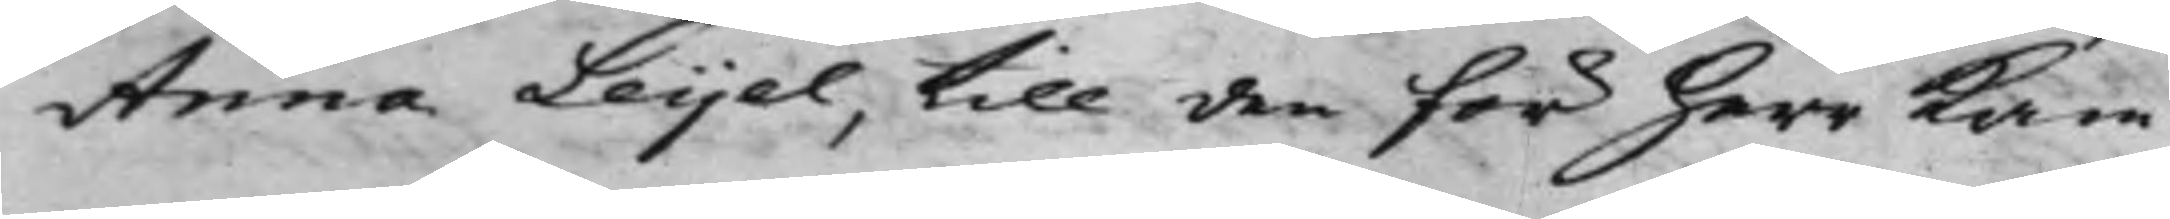Anna Leijel, till den för herr Kam¬
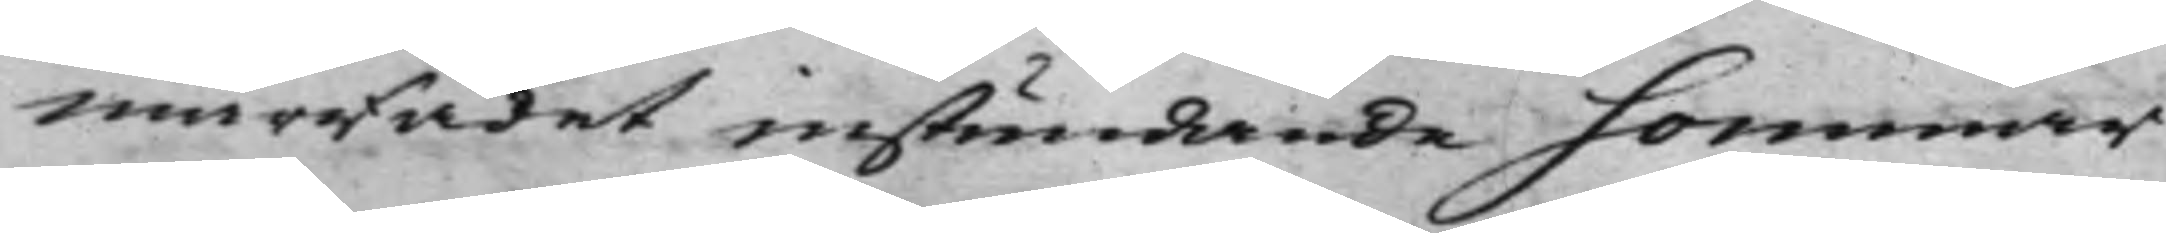marRådet instundande sommar
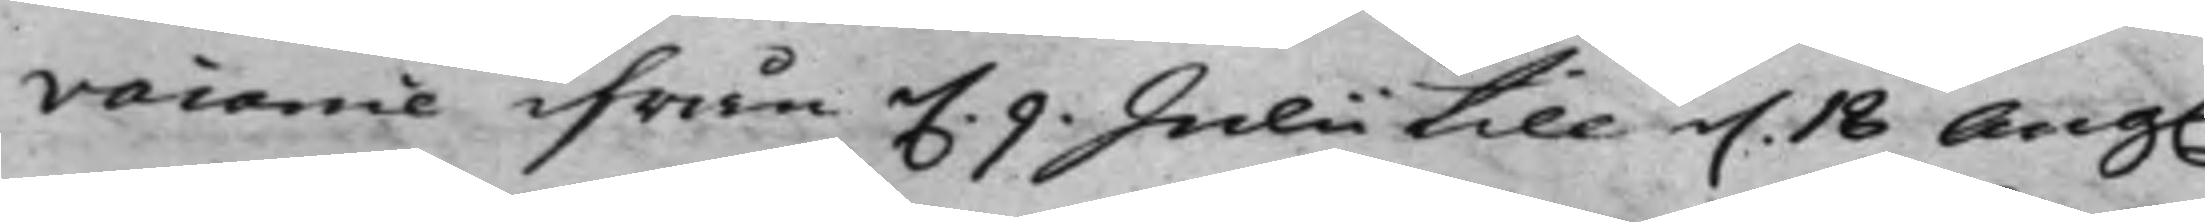vacance ifrån d. 9 Julii till d. 18 Aug.
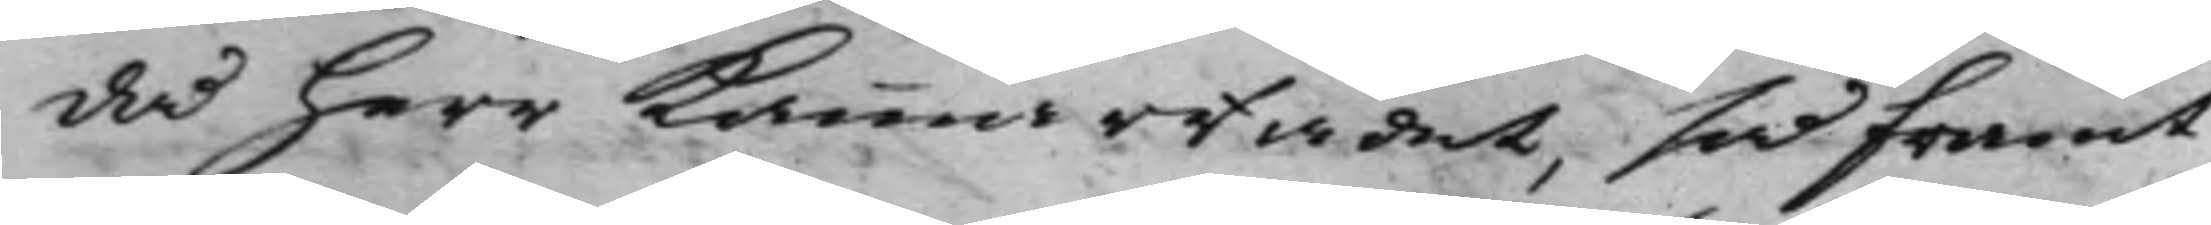då herr KammarRådet, så framt
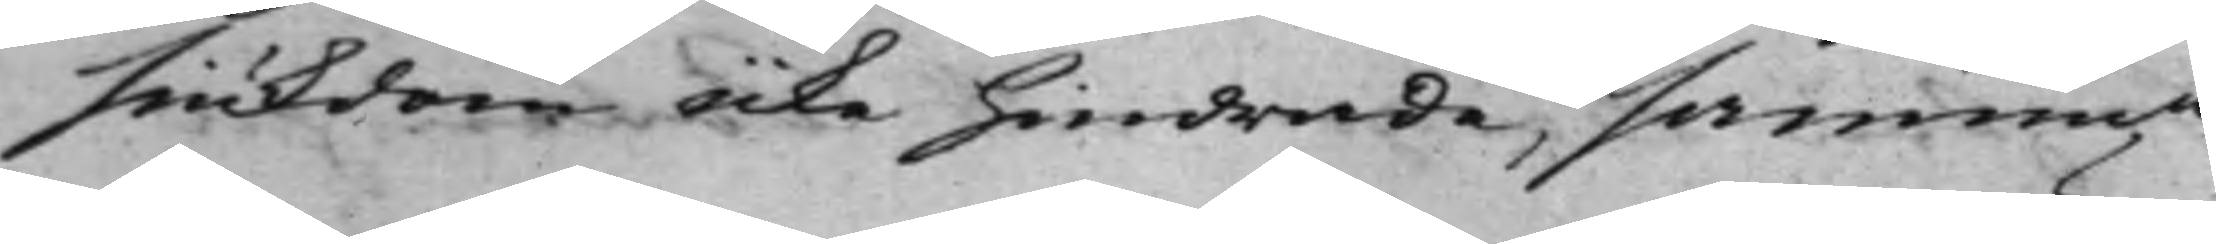siukdom icke hindrade, samma
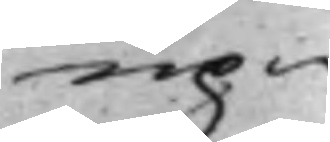up¬
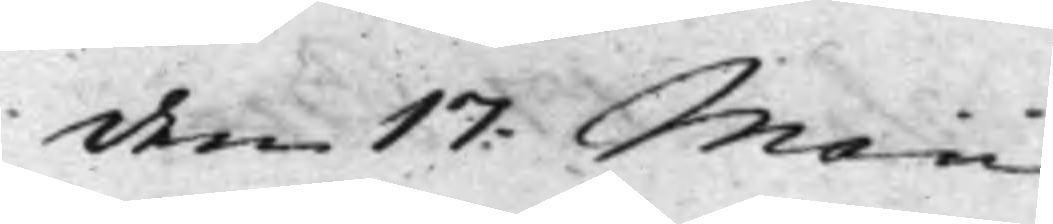den 17: Maii
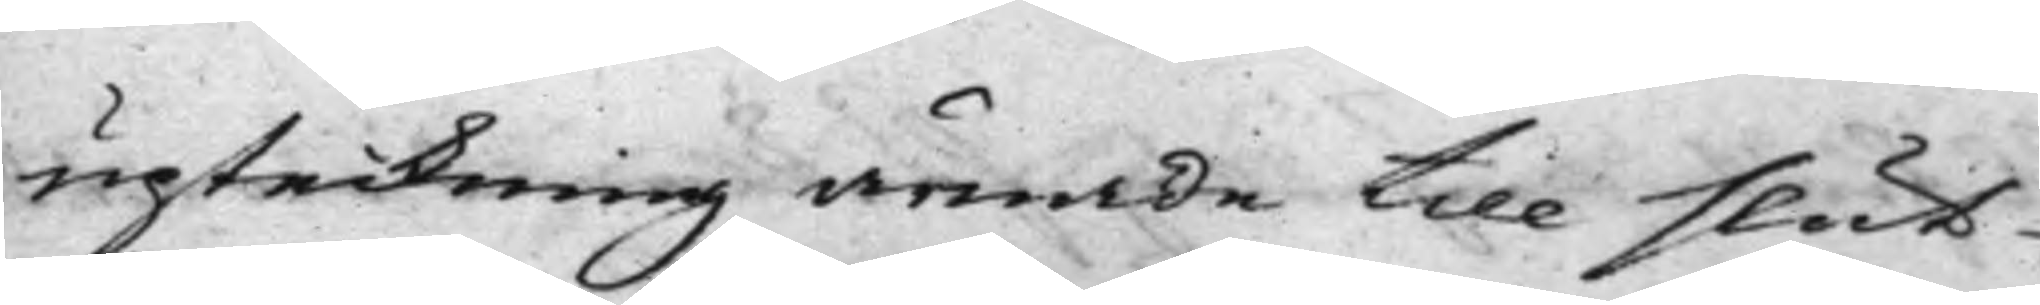upteckning ämnade till slut
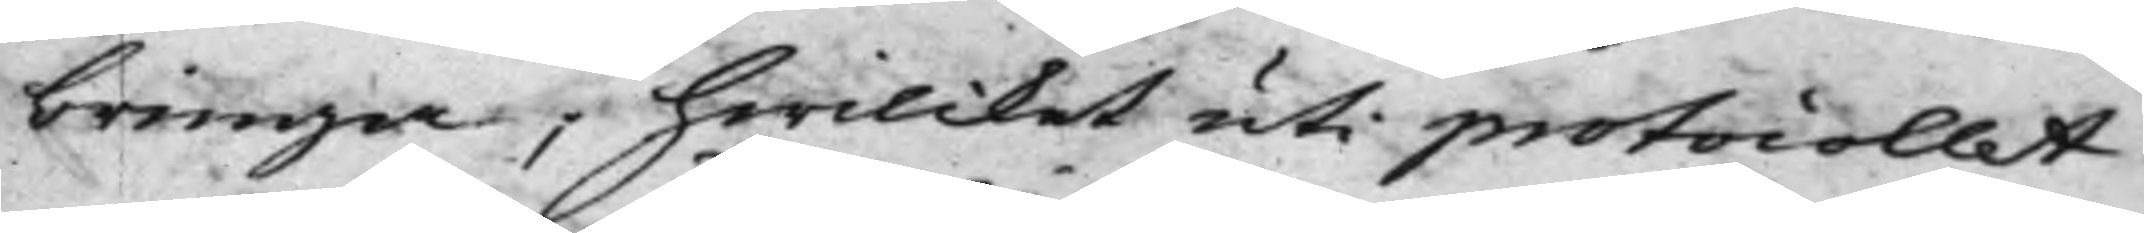bringa, hwilcket uti protocollet
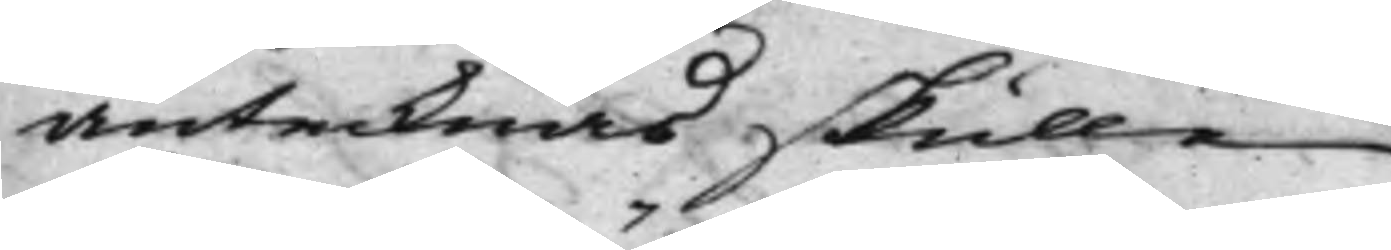antecknas skulle.
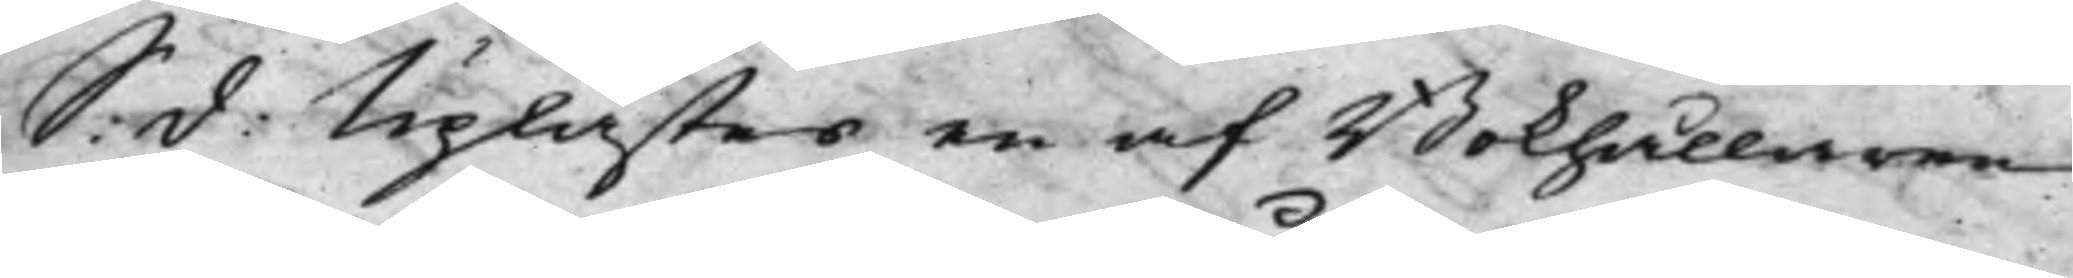S: d: Uplästes en af Bokhållaren
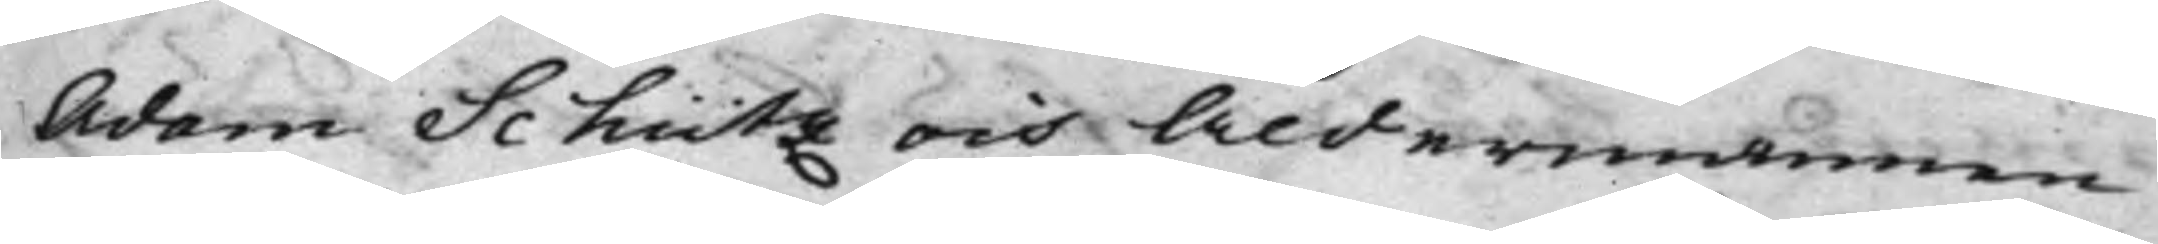Adam Schütz och Åldermannen
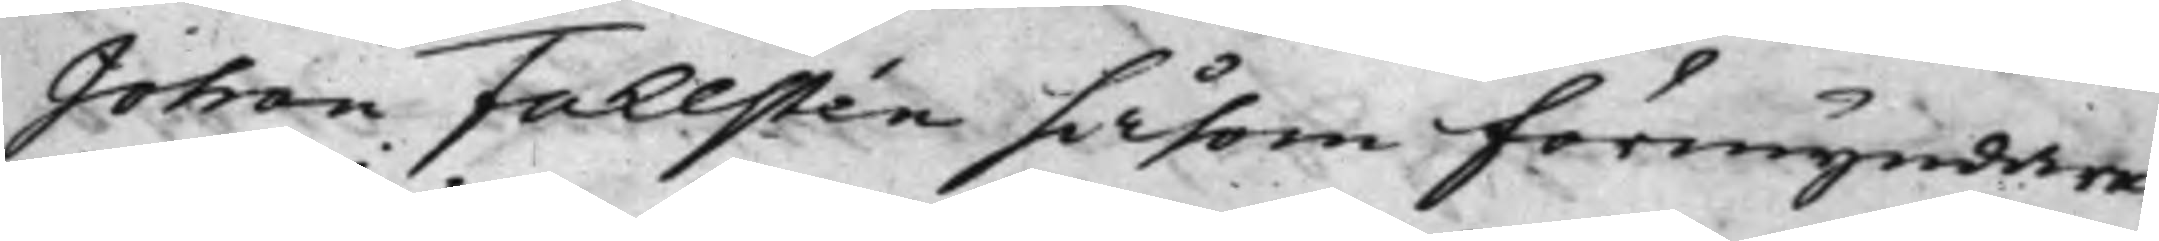Johan Fahlstén såsom förmyndare
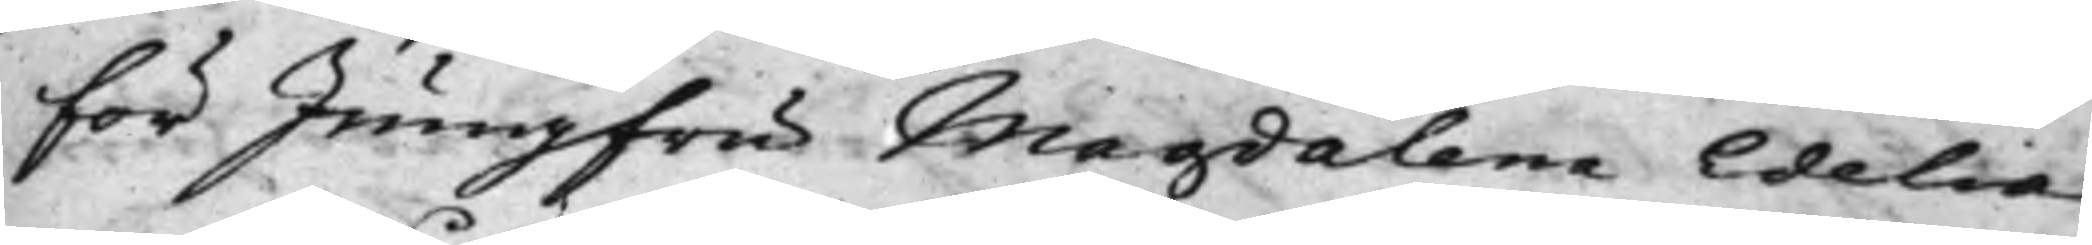för Jungfru Magdalena Edelia,
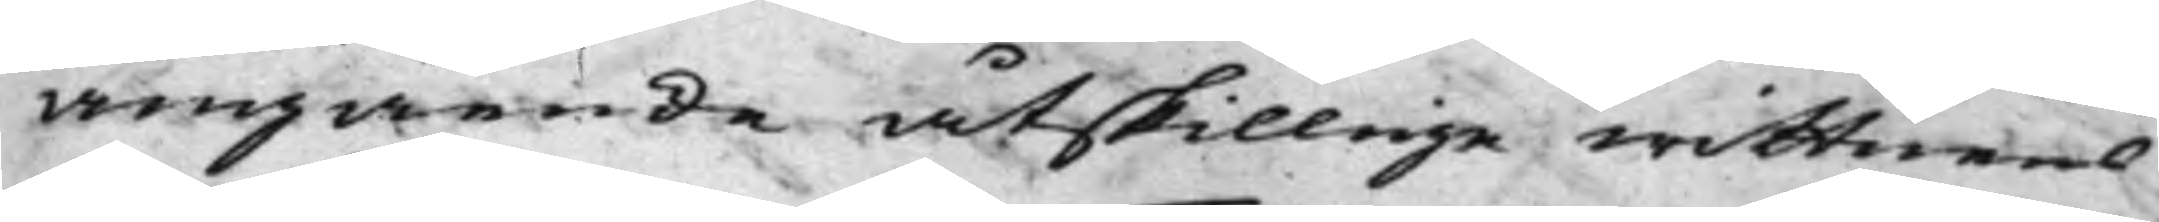angående åtskillige wittnens
